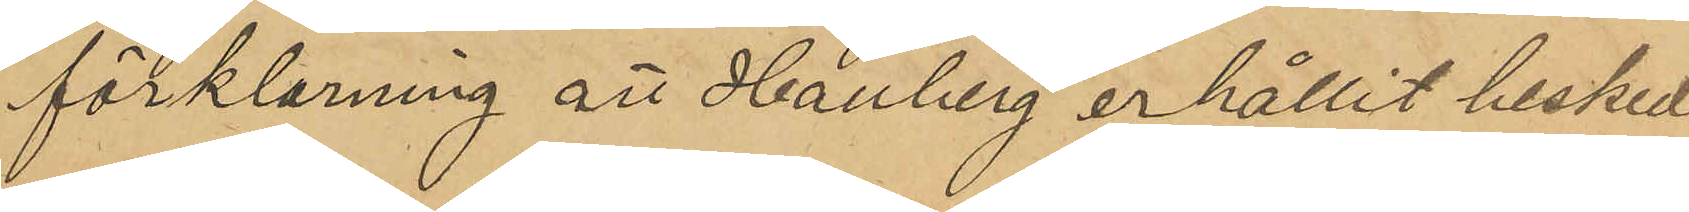förklaring att Hallberg erhållit besked
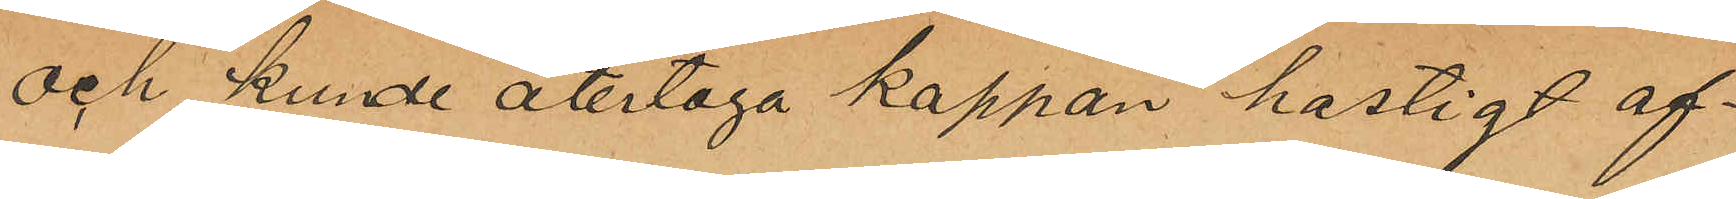och kunde återtaga kappan hastigt af¬
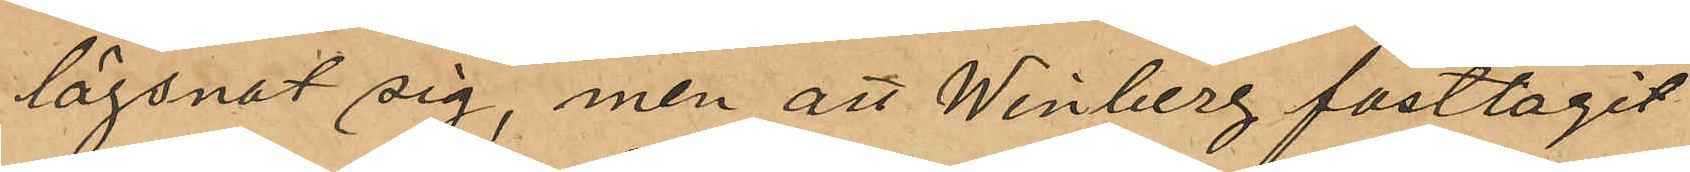lägsnat sig, men att Winberg fasttagit
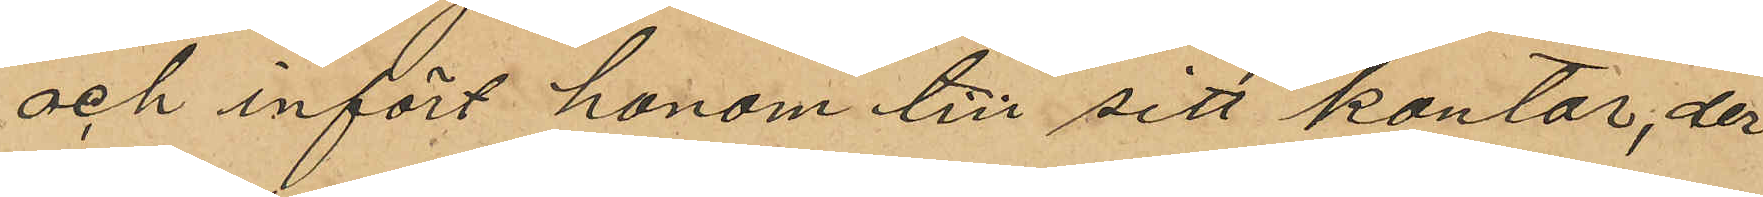och infört honom till sitt kontor, der
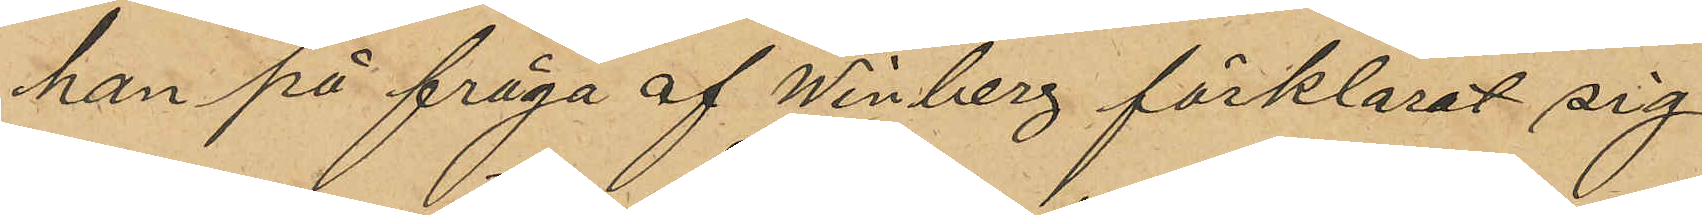han på fråga af Winberg förklarat sig
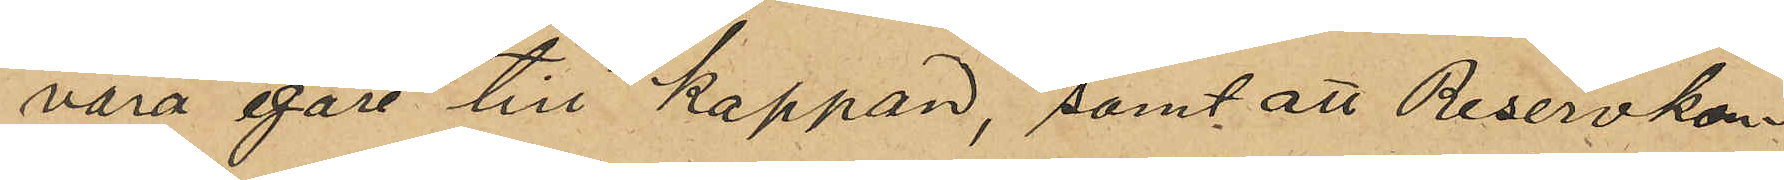vara egare till kappan, samt att Reservkon¬
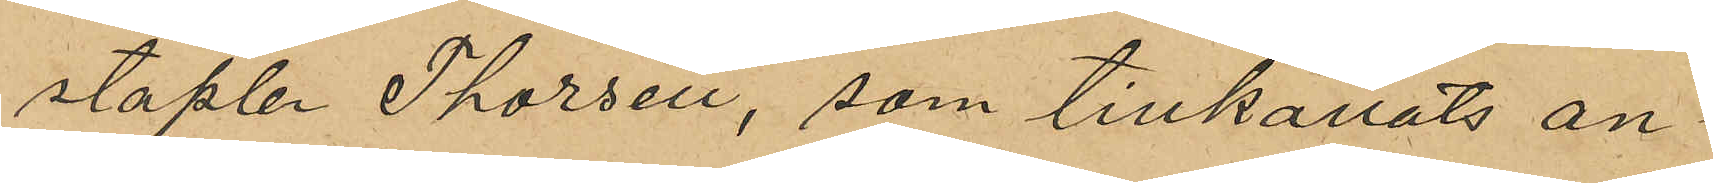staplen Thorsen, som tillkallats an¬
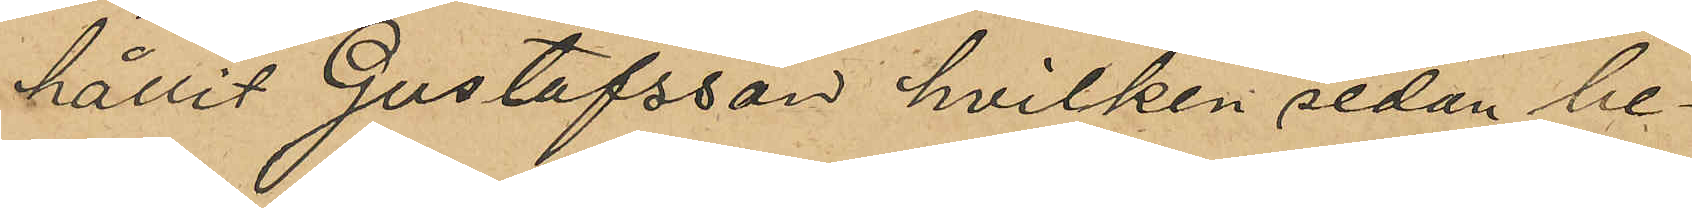hållit Gustafsson hvilken sedan be¬
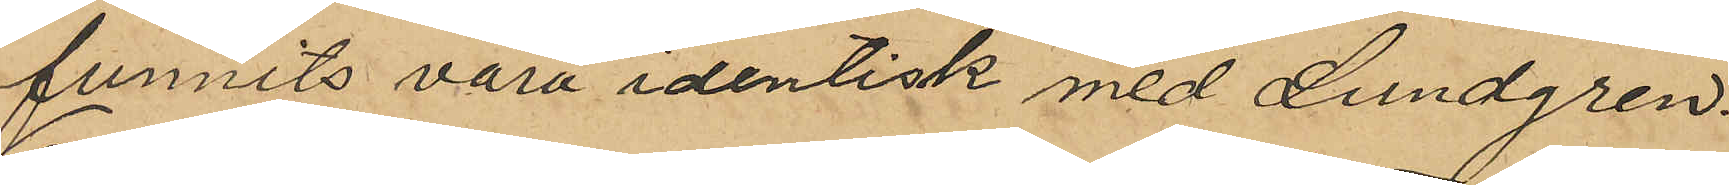funnits vara identisk med Lundgren.
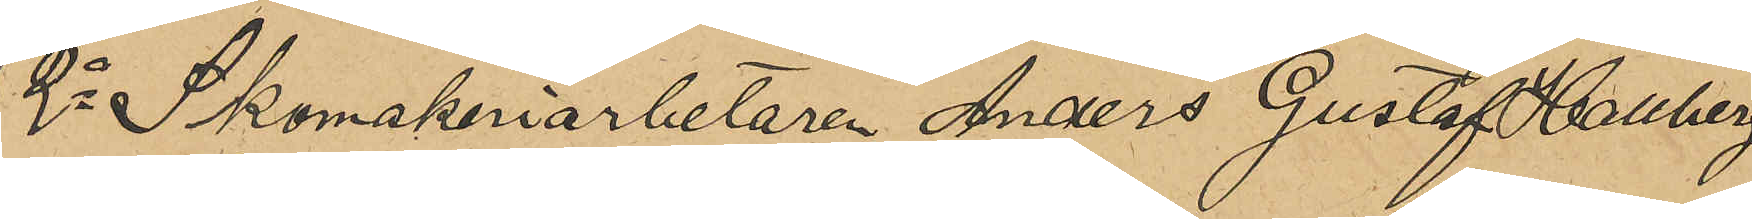2o Skomakeriarbetaren Anders Gustaf Hallberg
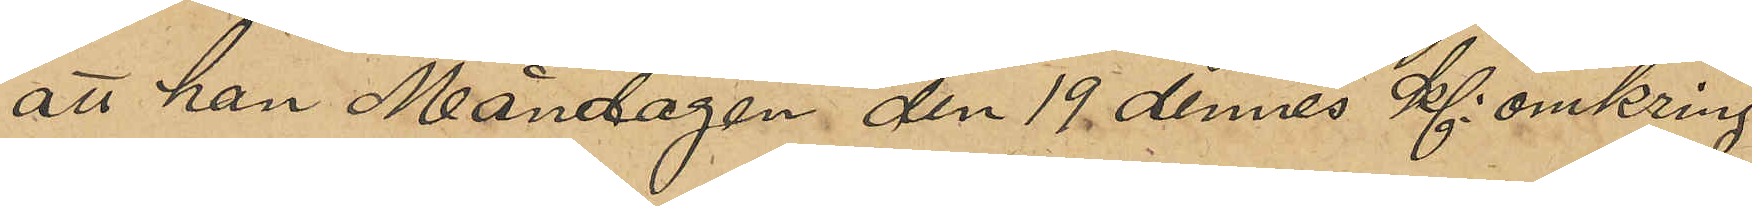att han Måndagen den 19 dennes Kl: omkring
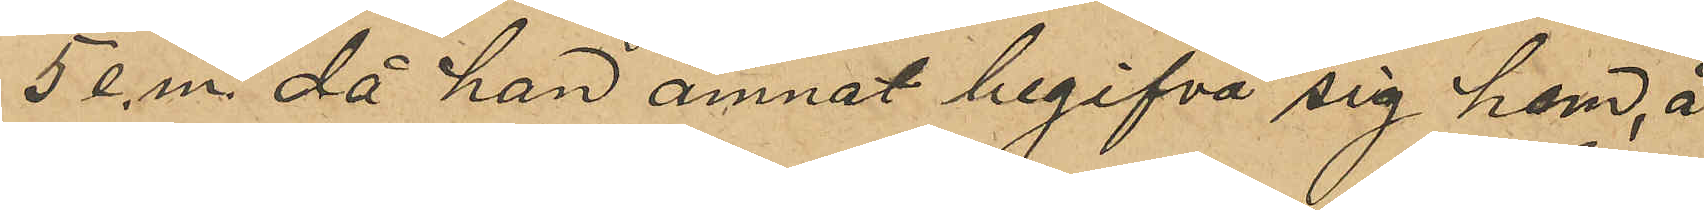5 e.m. då han ämnat begifva sig hem, å
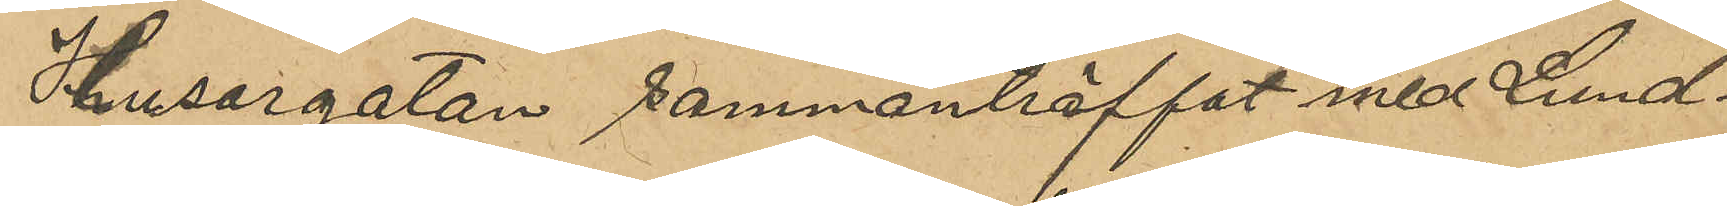Husargatan sammanträffat med Lund¬
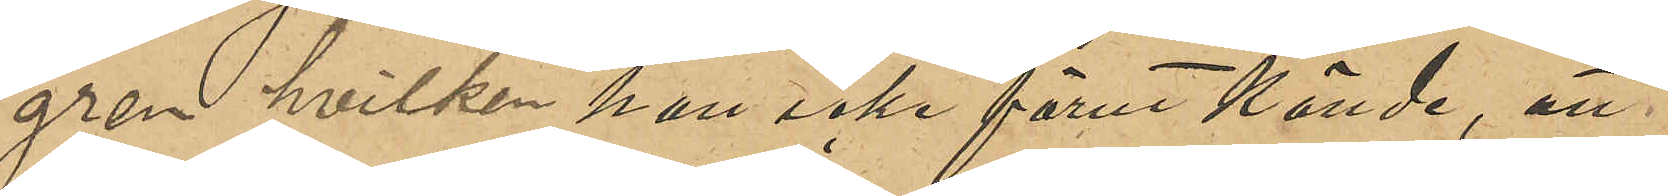gren hvilken han icke förut kände, att
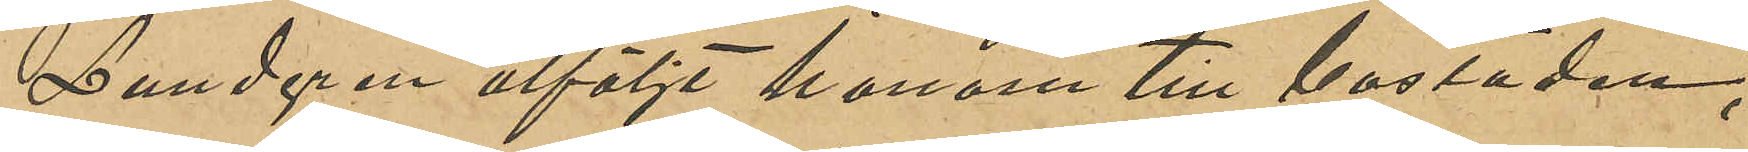Lundgren åtföljt honom till bostaden,
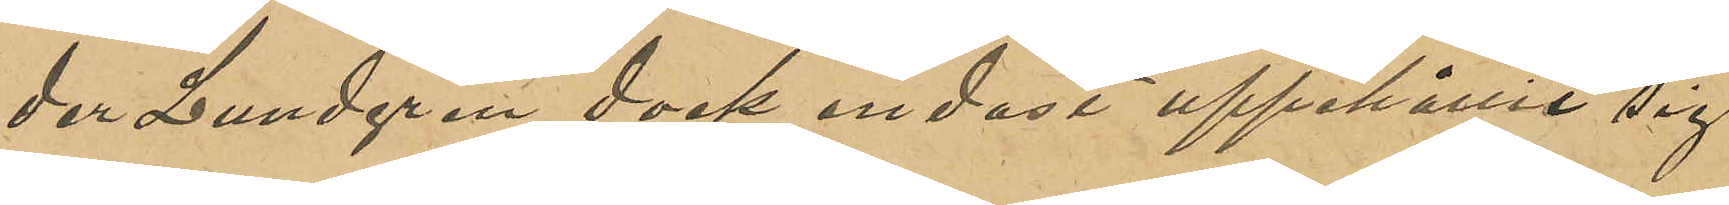der Lundgren dock endast uppehållit sig
